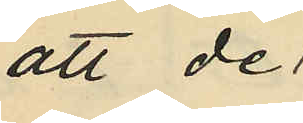att de
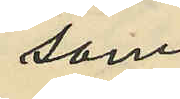som
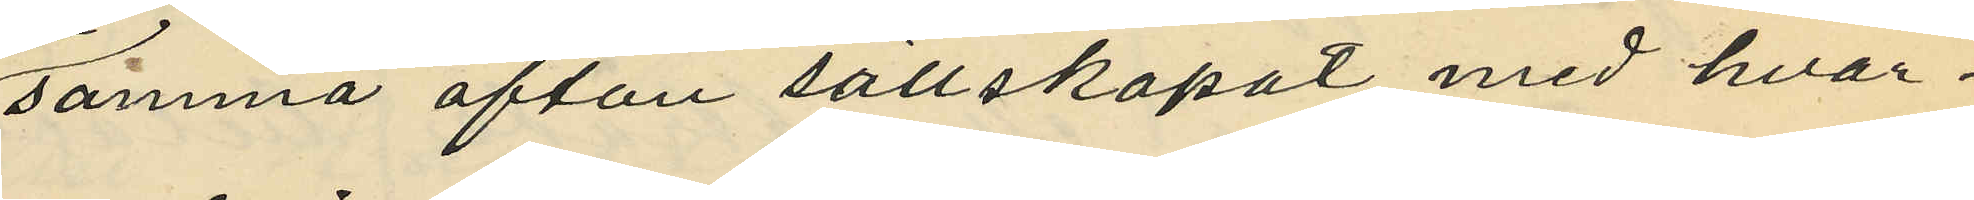samma afton sällskapat med hvar¬
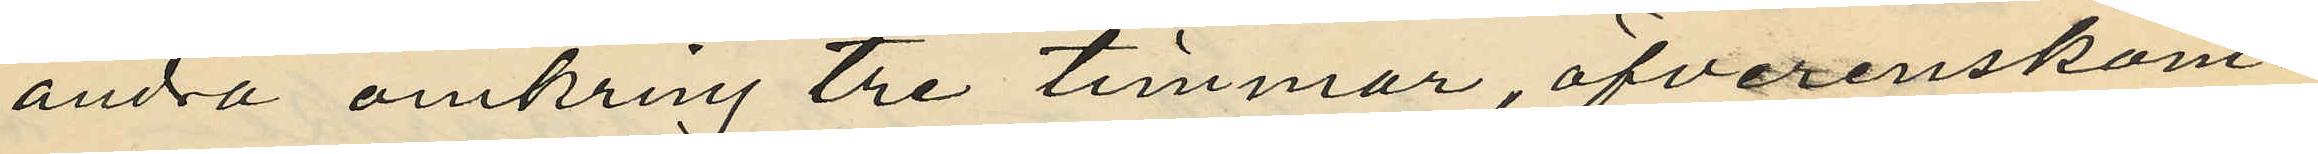andra omkring tre timmar, öfverenskom¬
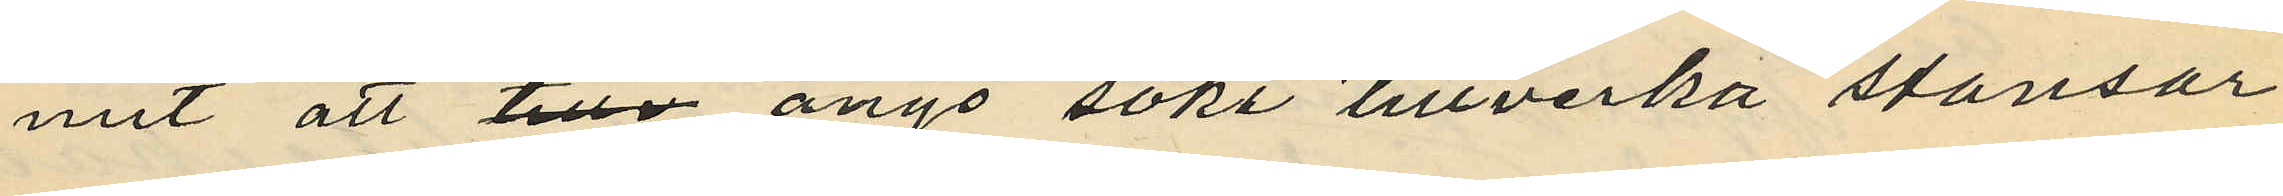mit att ånyo söka tillverka stansar
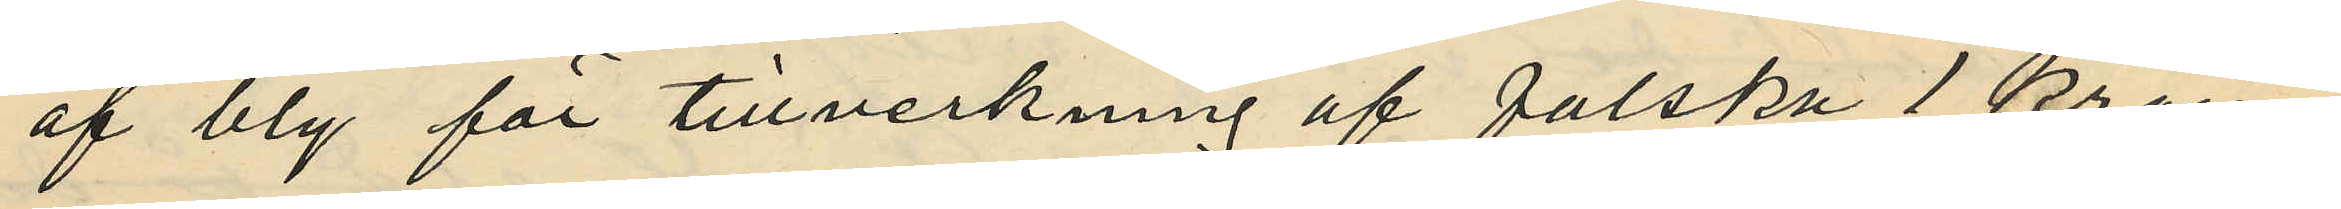af bly för tillverkning af falska 1 krono¬
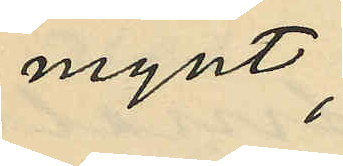mynt;
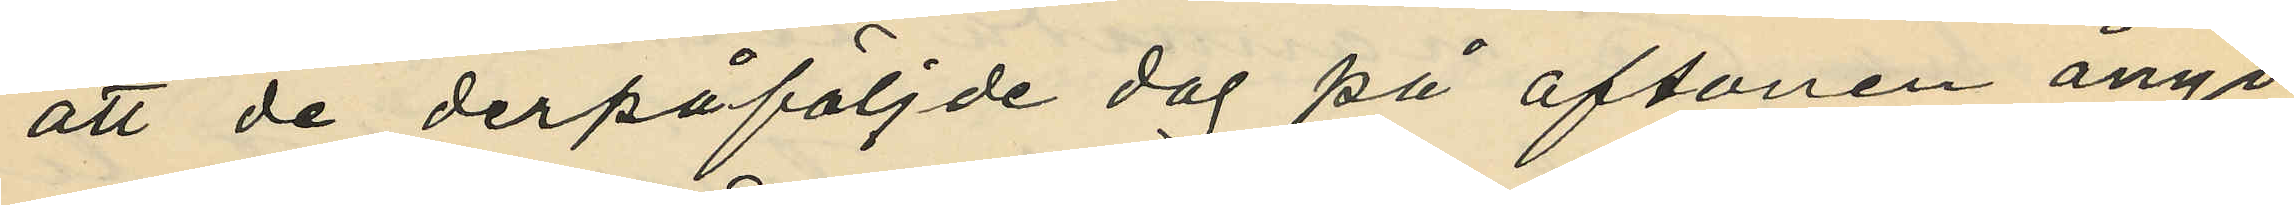att de derpåföljde dag på aftonen ånyo
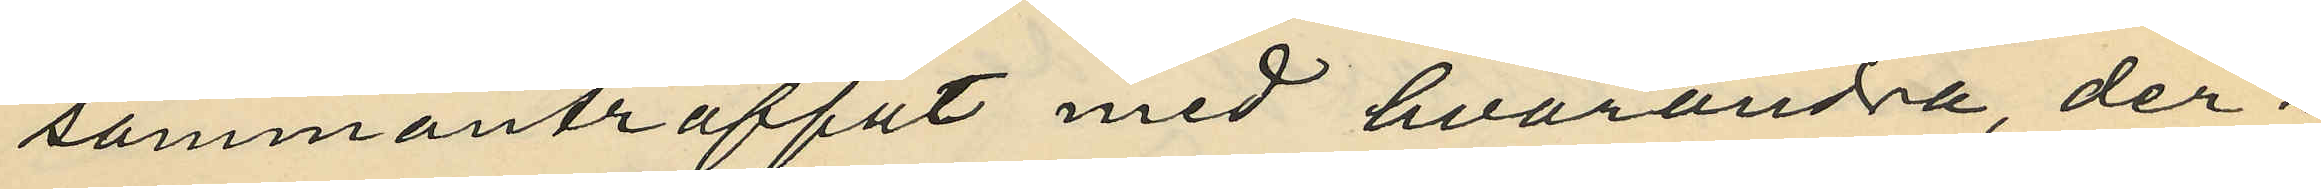sammanträffat med hvarandra, der¬
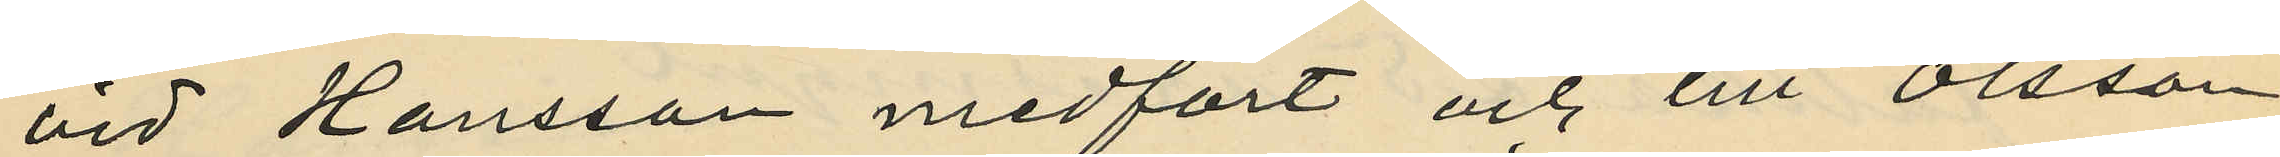vid Hansson medfört och till Olsson
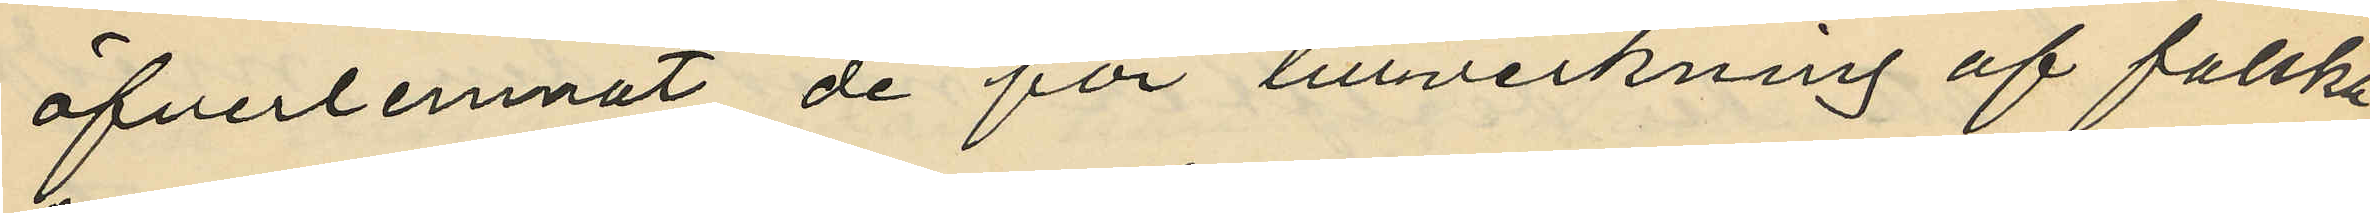öfverlemnat de för tillverkning af falska
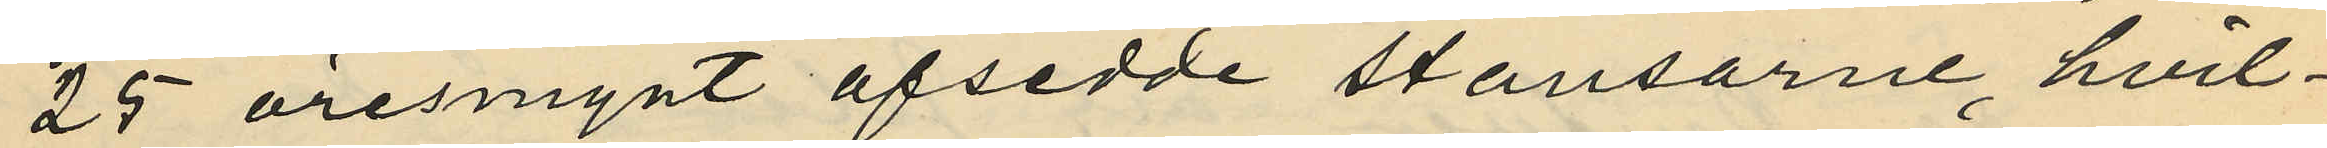25 öresmynt afsedde stansarne, hvil¬
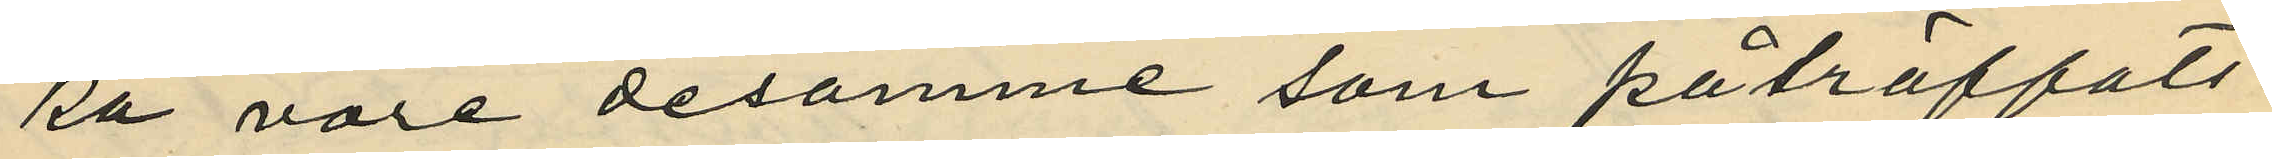ka vore desamme som påträffats
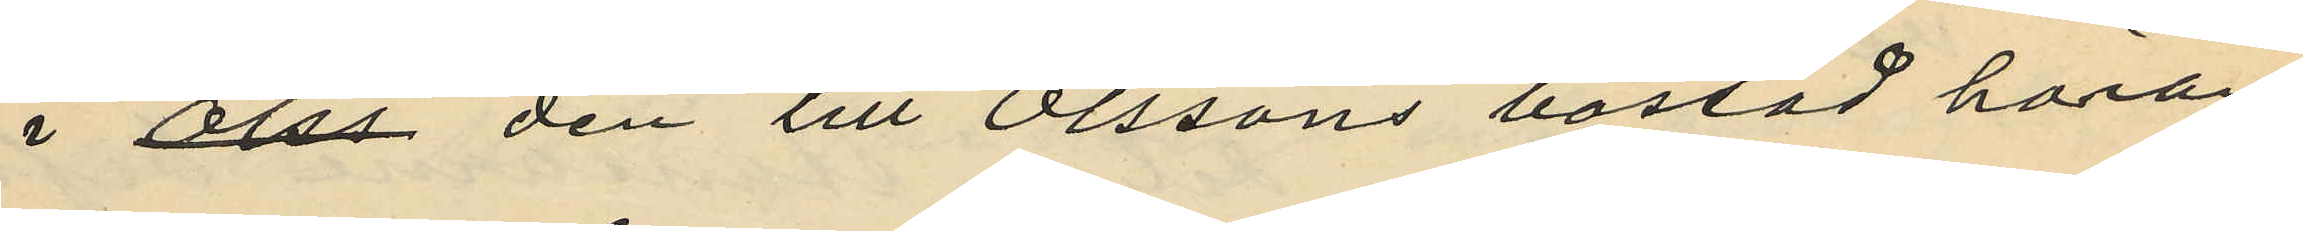i Olss den till Olssons bostad höran¬
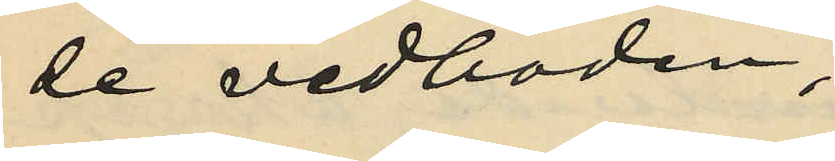de vedboden;
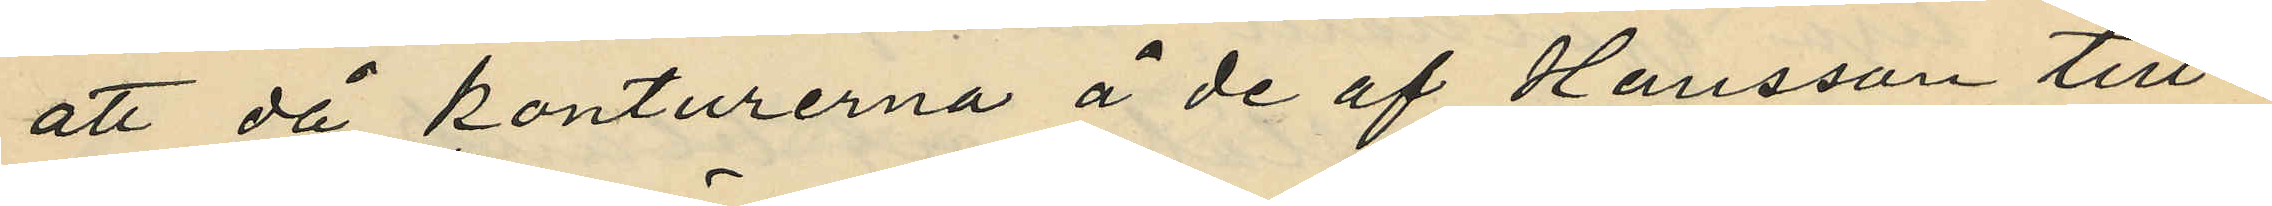att då konturerna å de af Hansson till¬
